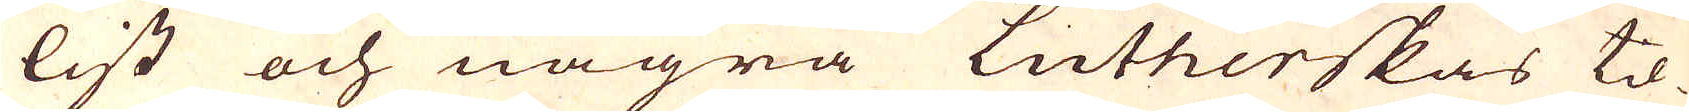list och några Lutherskas til-
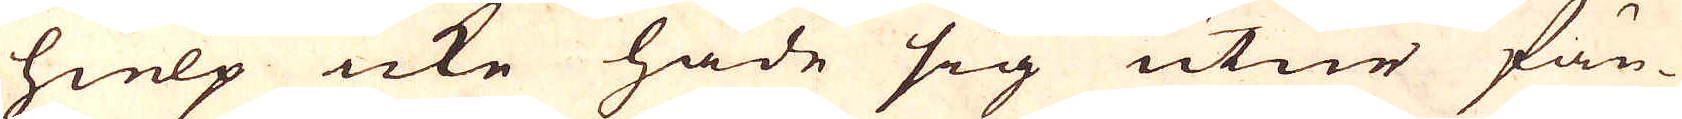hielp icke hade sig utur fän-
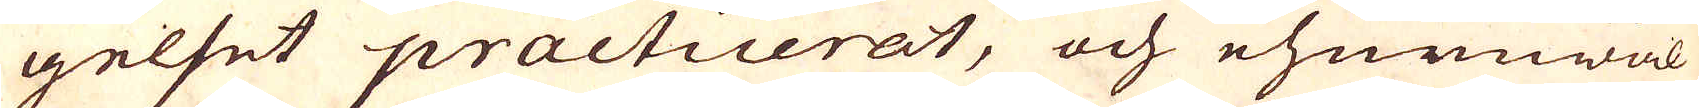gelset practicerat, och ehuruwäl
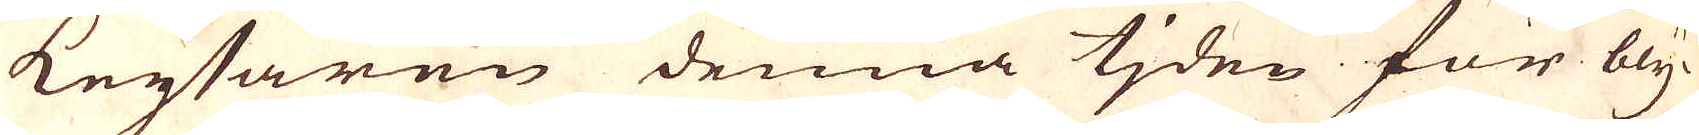keysaren denna tiden för bly-
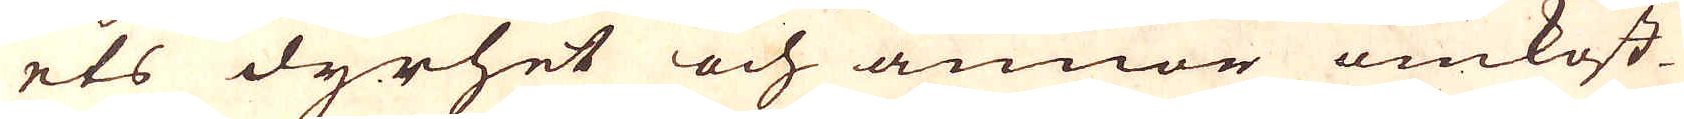ets dyrhet och annor omkost-
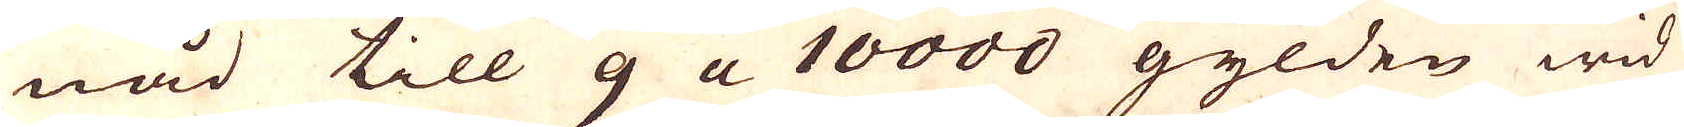nad till 9 a 10000 gylden wid
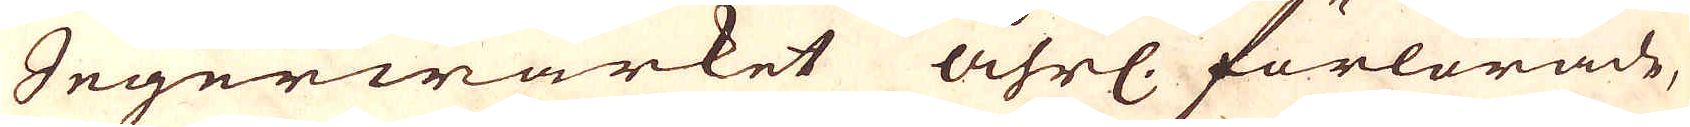Segerwärket åhrl. förlorade,
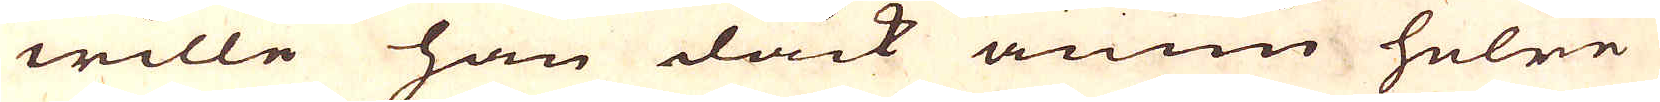wille han dock ännno helre
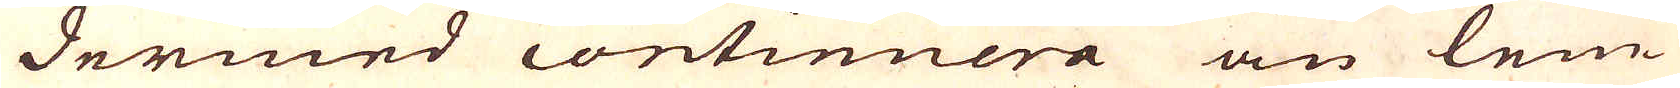dermed continuera än lem-
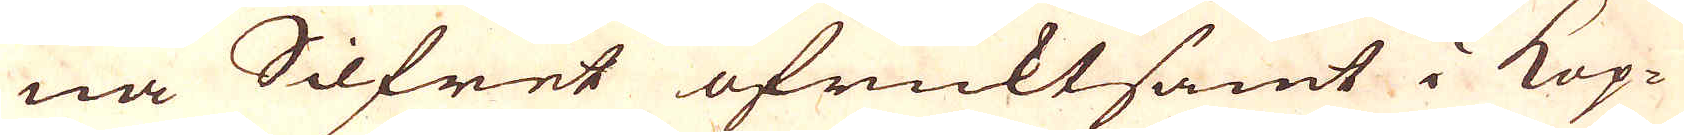na Silfret ofrucktsamt i Kop-
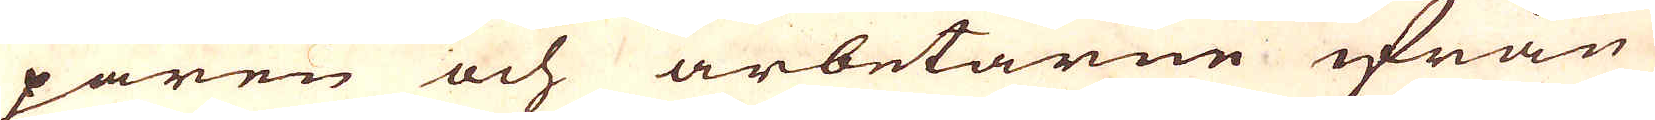paren och arbetarne ifrån
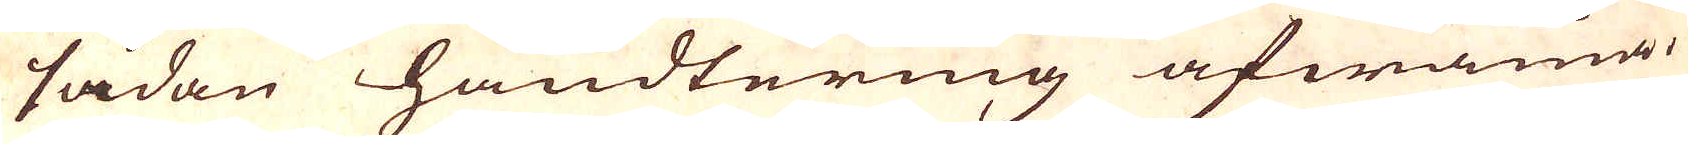sådan handtering afwänia.
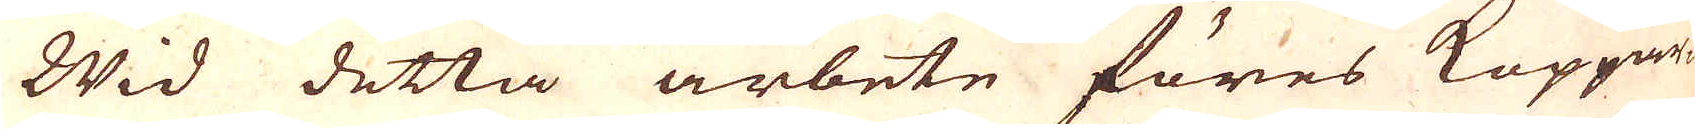Wid detta arbete föres Koppar-
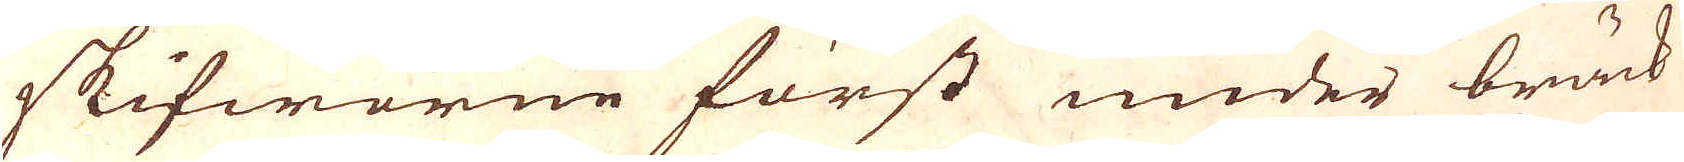skifworne först under bräck-
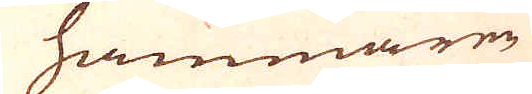hammaren
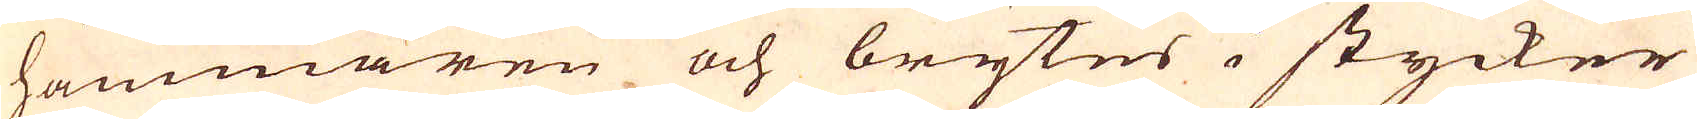hammaren och brytes i stycker
